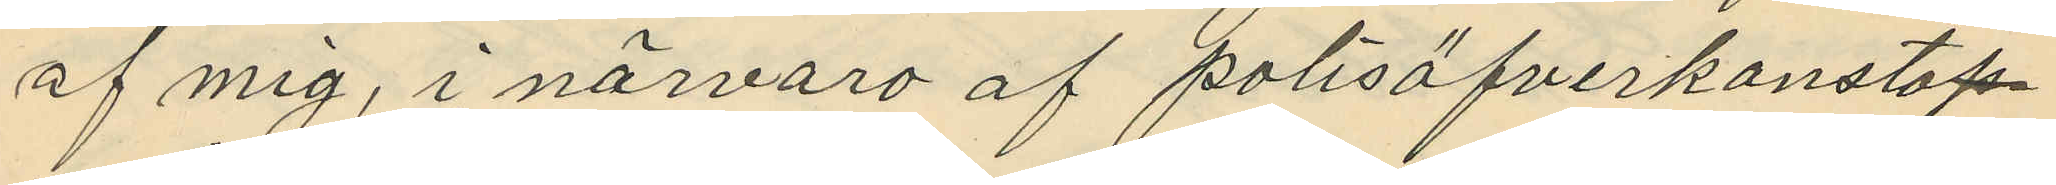af mig, i närvaro af polisöfverkonstap¬
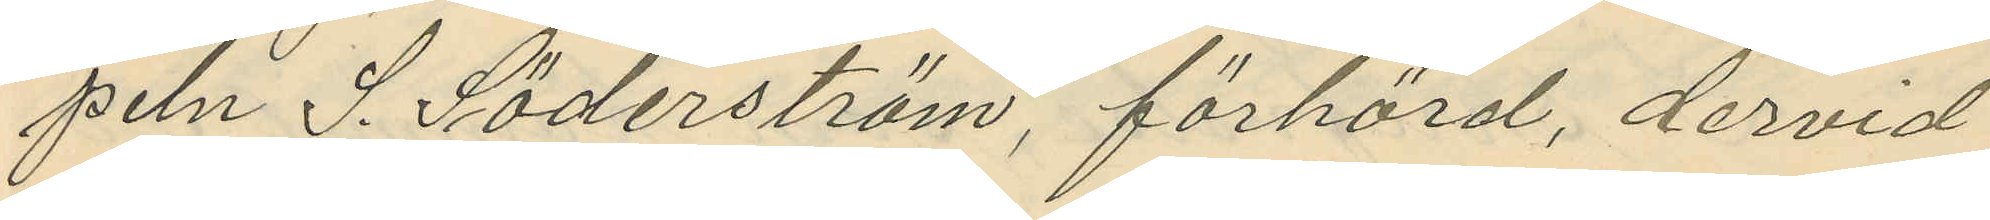peln S. Söderström, förhörd, dervid
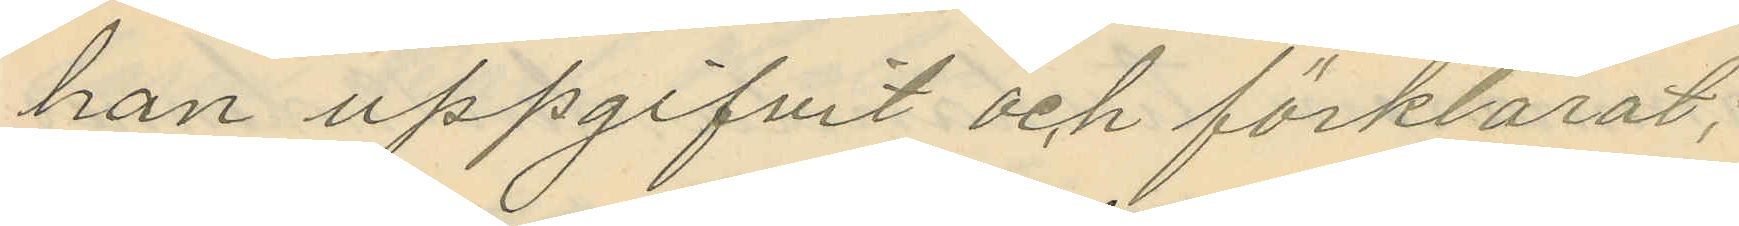han uppgifvit och förklarat,
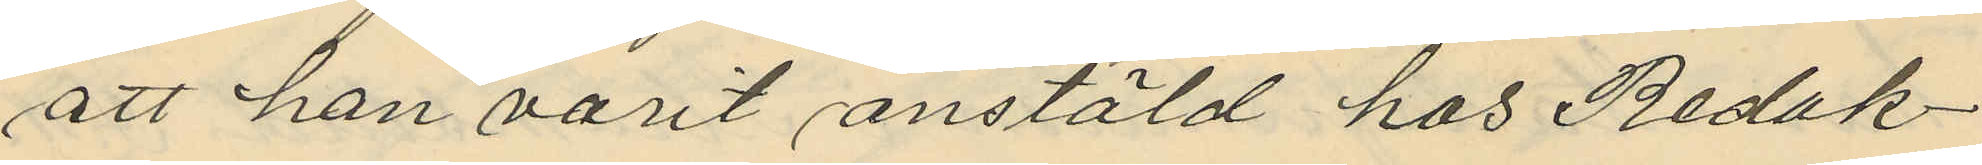att han varit anstäld hos Redak¬
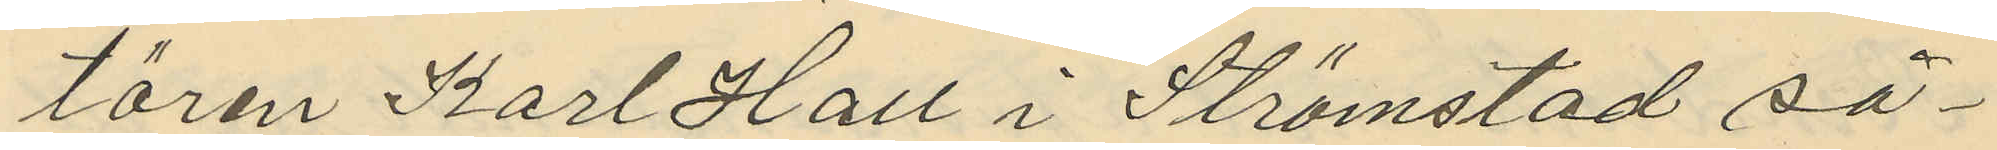tören Karl Hall i Strömstad så¬
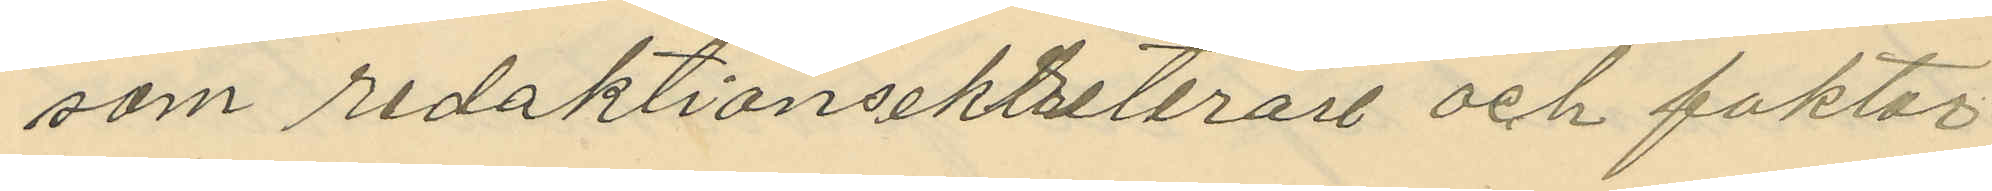som redaktionsekreterare och faktor
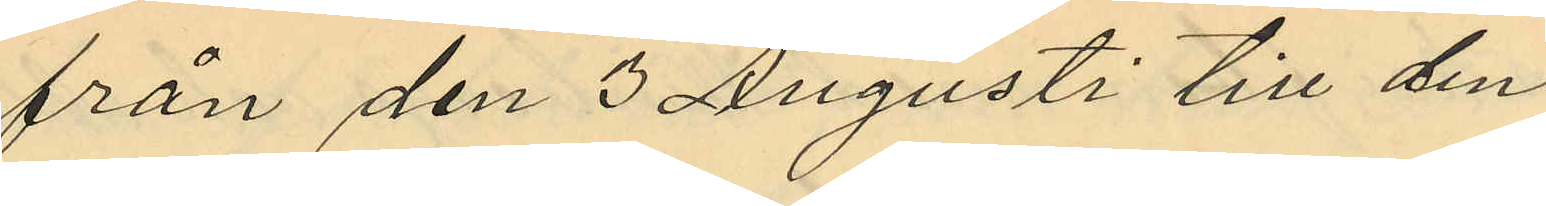från den 3 Augusti till den
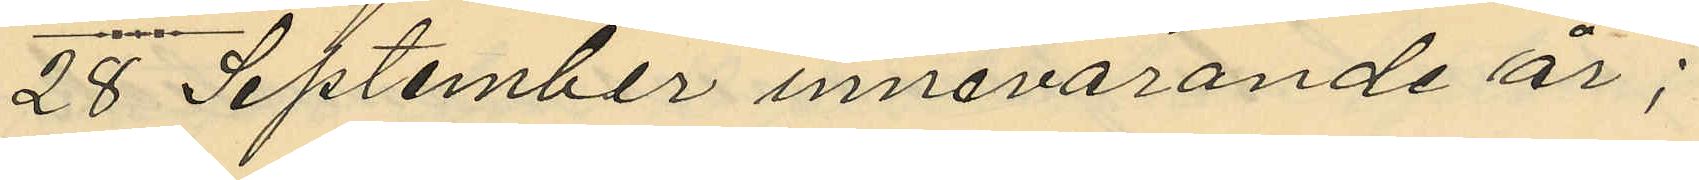28 September innevarande år;
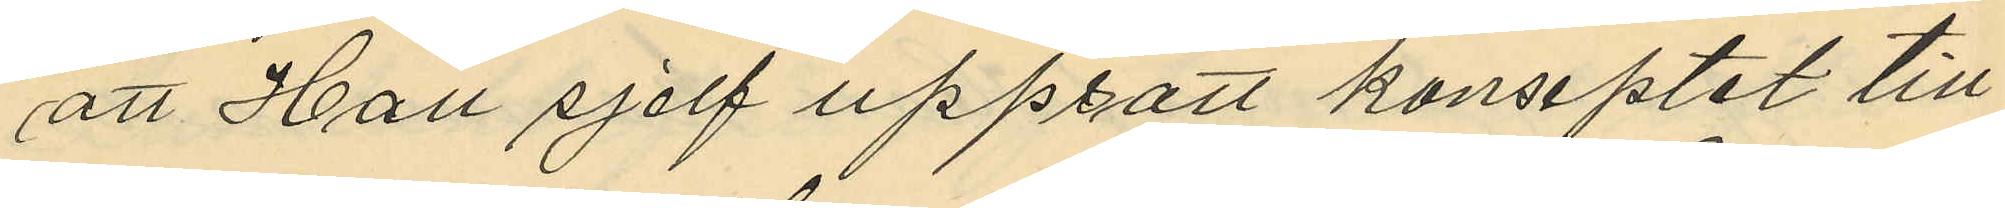att Hall sjelf uppsatt konseptet till
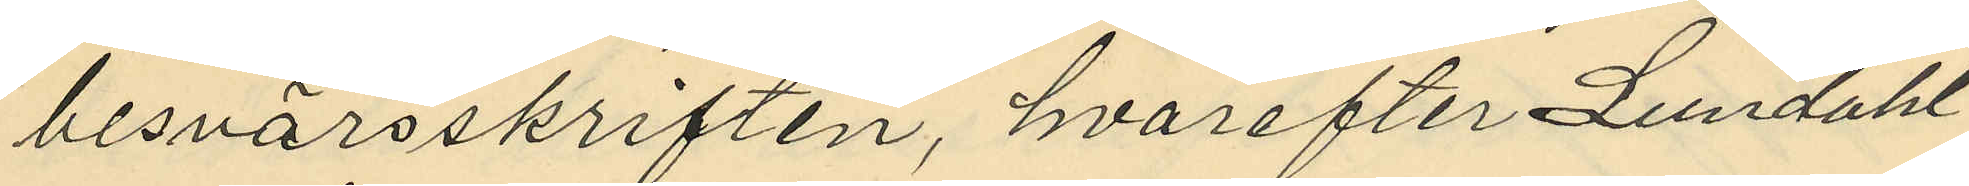besvärsskriften, hvarefter Lundahl
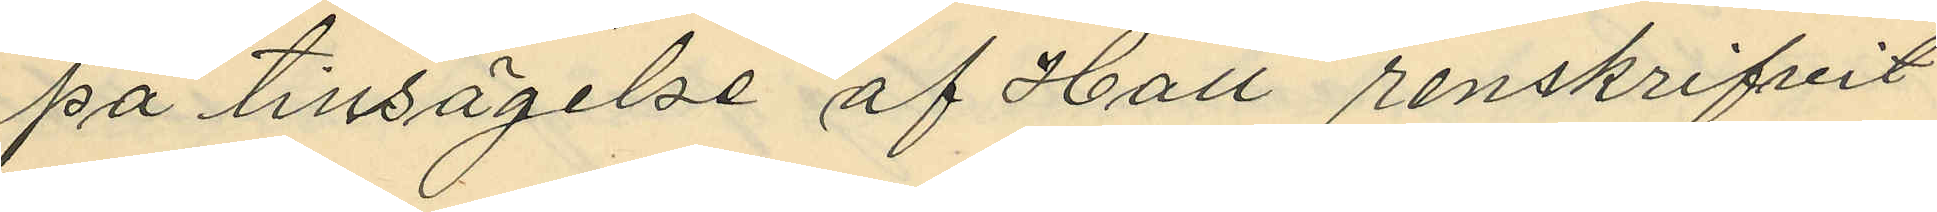på tilsägelse af Hall renskrifvit
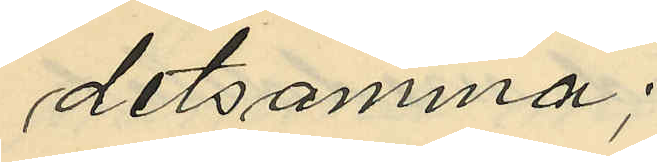detsamma;
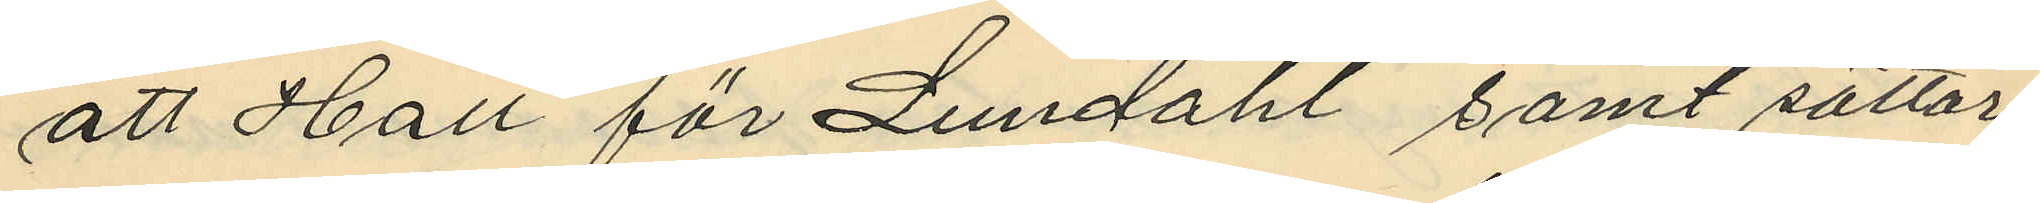att Hall för Lundahl samt sättar¬
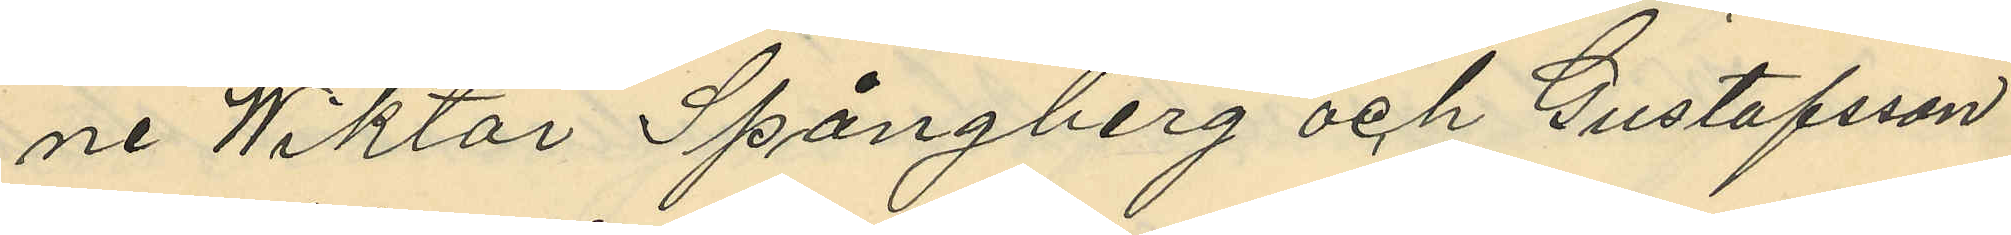ne Wiktor Spångberg och Gustafsson
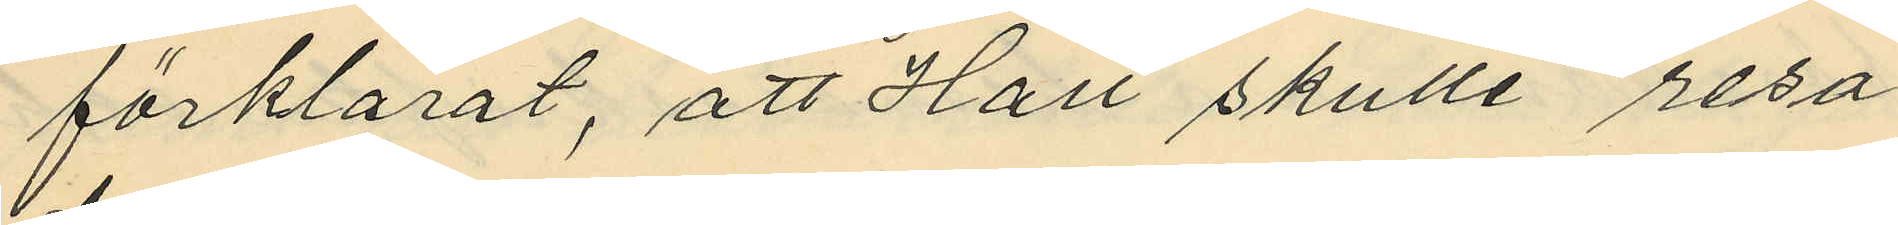förklarat, att Hall skulle resa
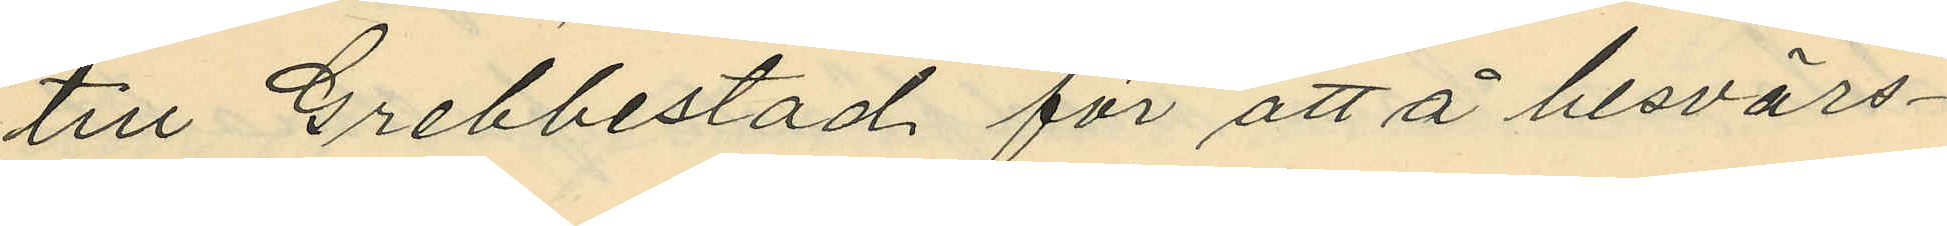till Grebbestad för att å besvärs¬
